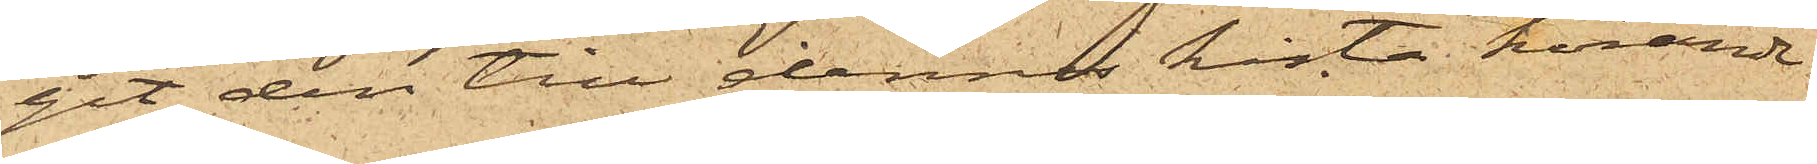git den till dennes kista hörande
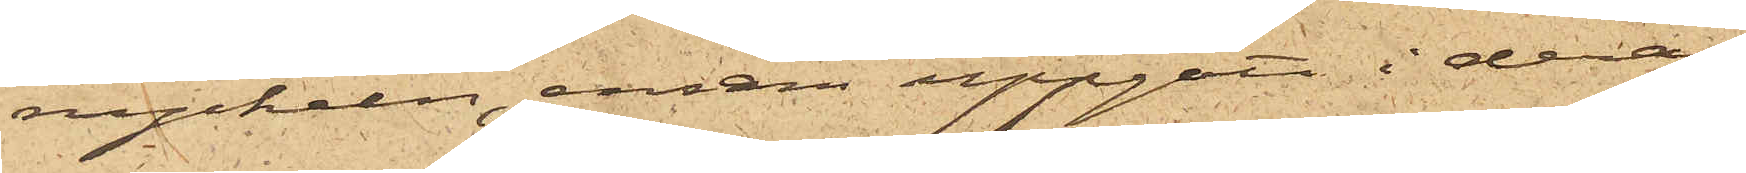nyckeln, ensam uppgått i deras
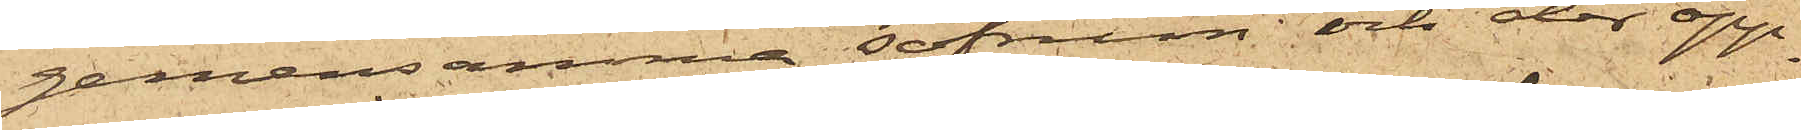gemensamma sofrum; och der öpp¬
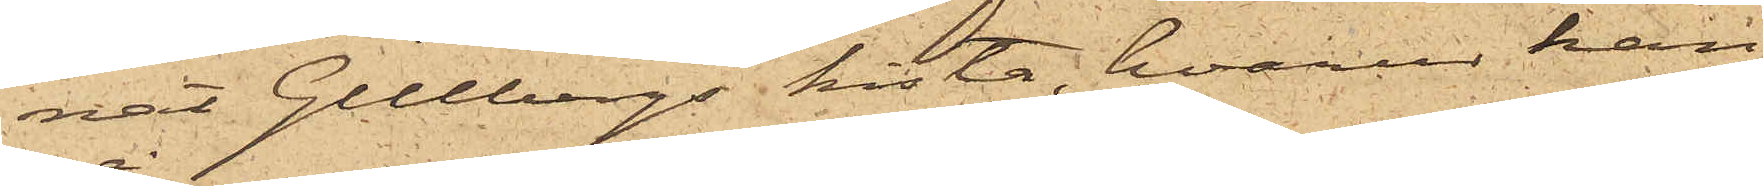nat Gillbergs kista, hvarur han
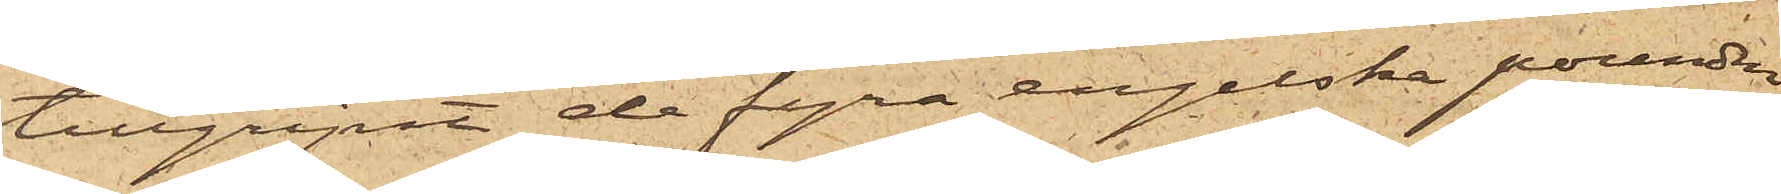tillgripit de fyra engelska pounden
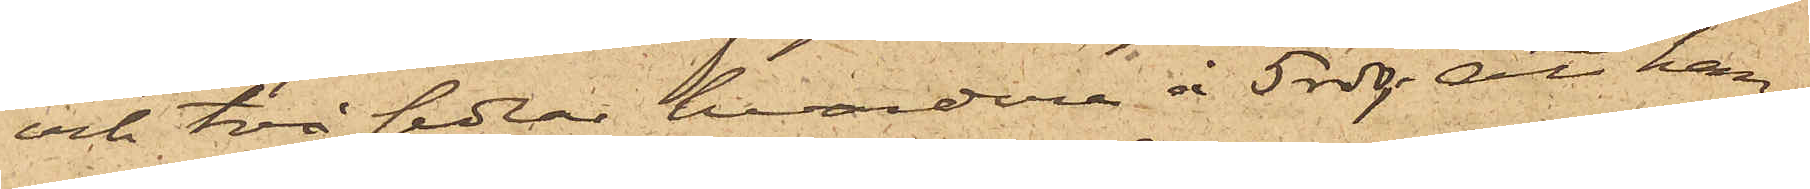och två sedlar, hvardera å 5 rdr; att han
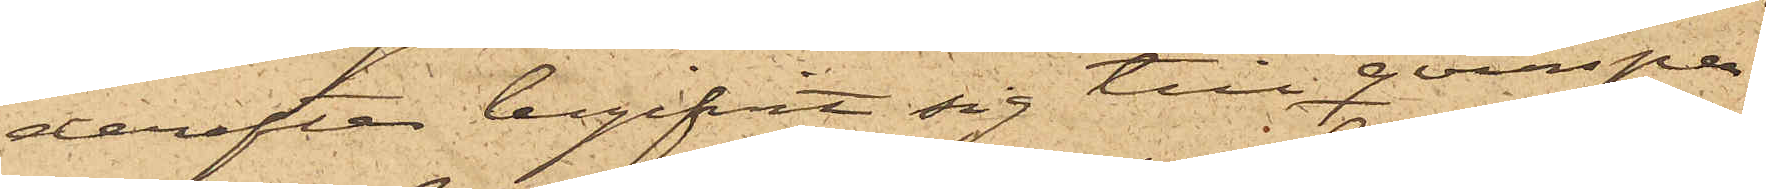derefter begifvit sig till qvarsper¬
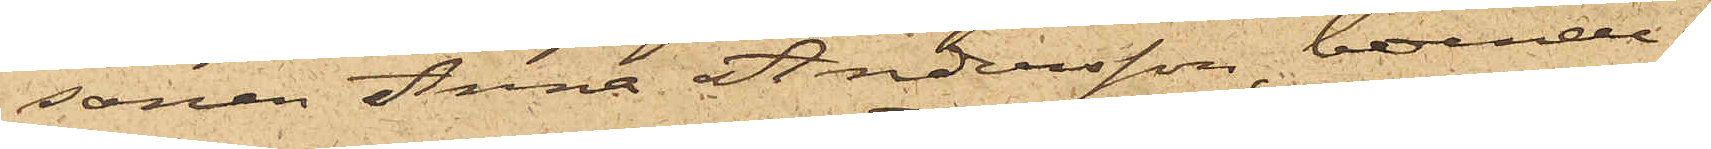sonen Anna Andersson, boende i
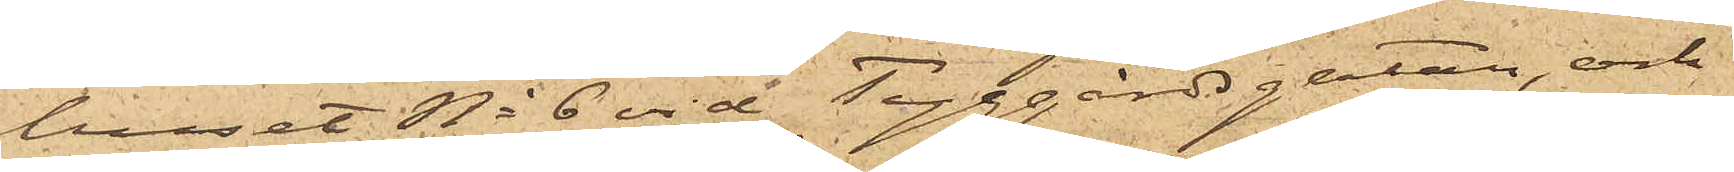huset No 6 vid Tyggårdsgatan, och
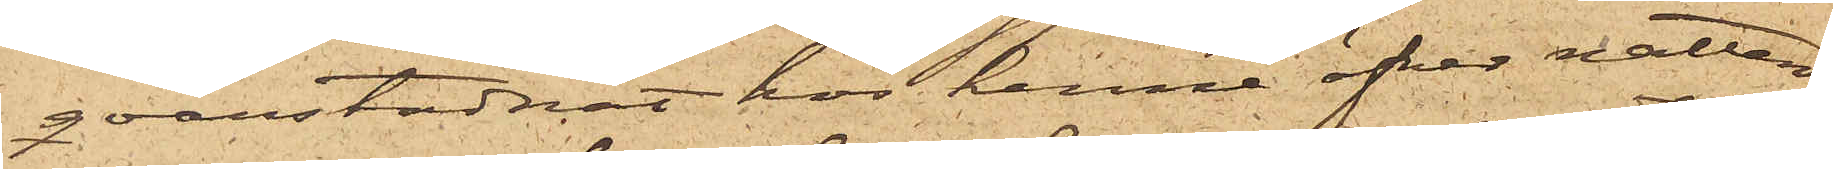qvarstadnat hos henne öfver natten;
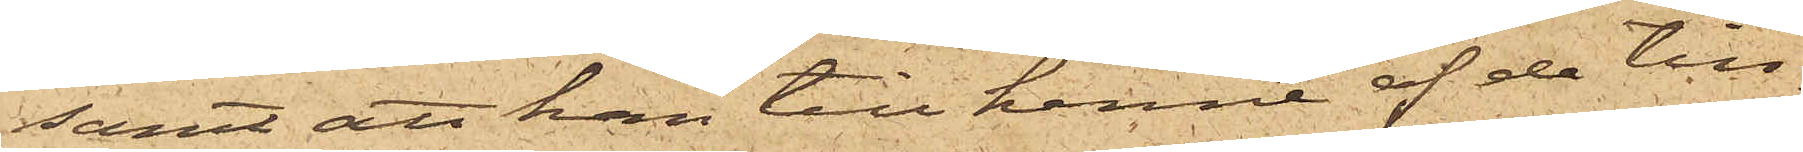samt att han till henne af de till¬
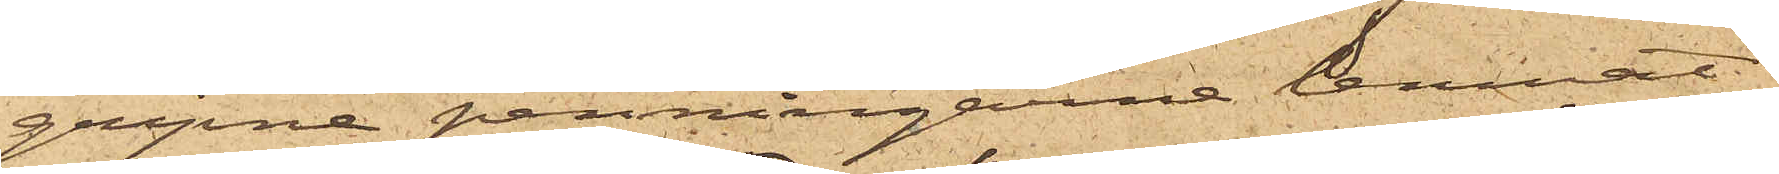gripne penningarne lemnat
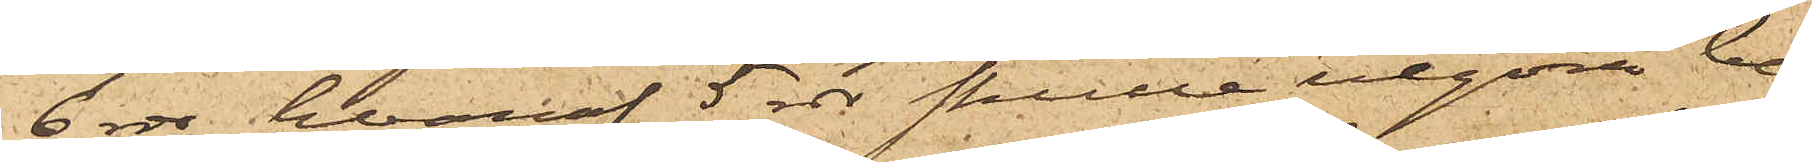6 rdr, hvaraf 5 rdr skulle utgöra be¬
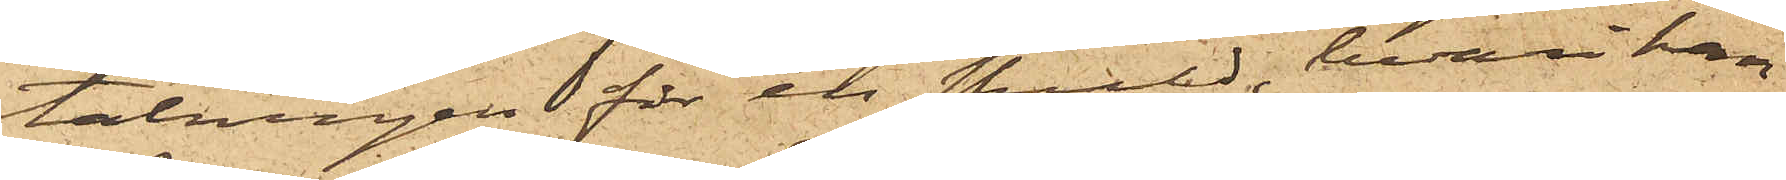talningen för en skuld, hvari han
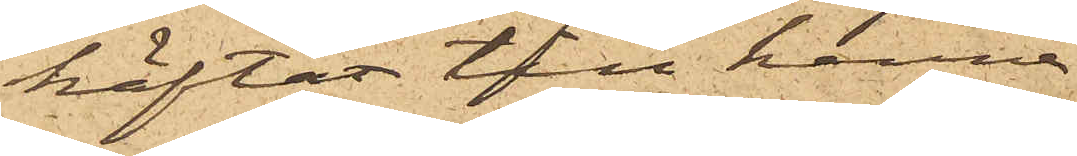häftat till henne.
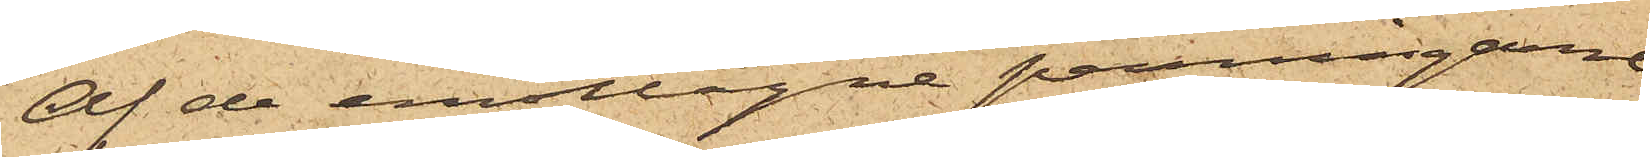Af de emottagne penningarne
